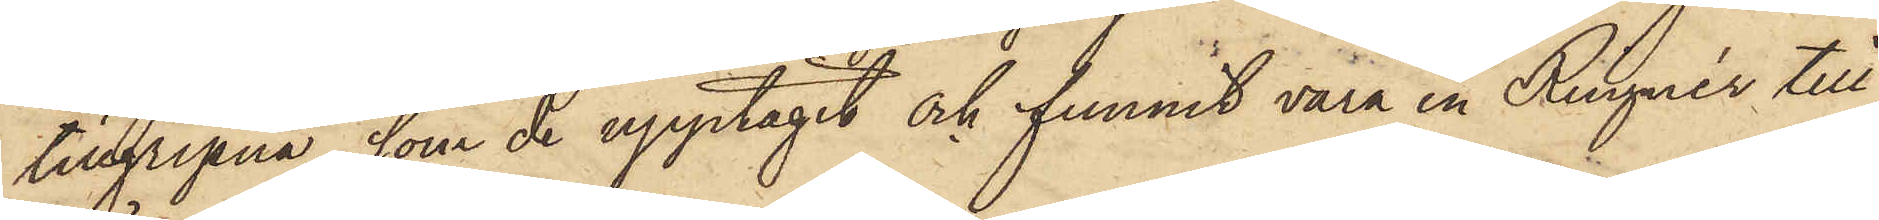tillgripna, som de upptagit och funnit vara en Ringnér till¬
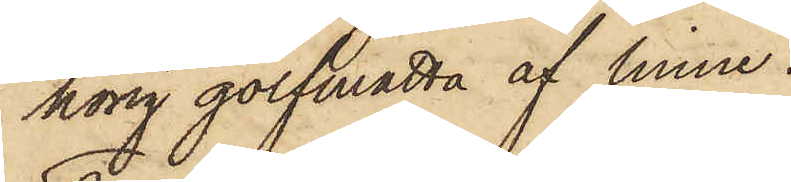hörig golfmatta af linne.
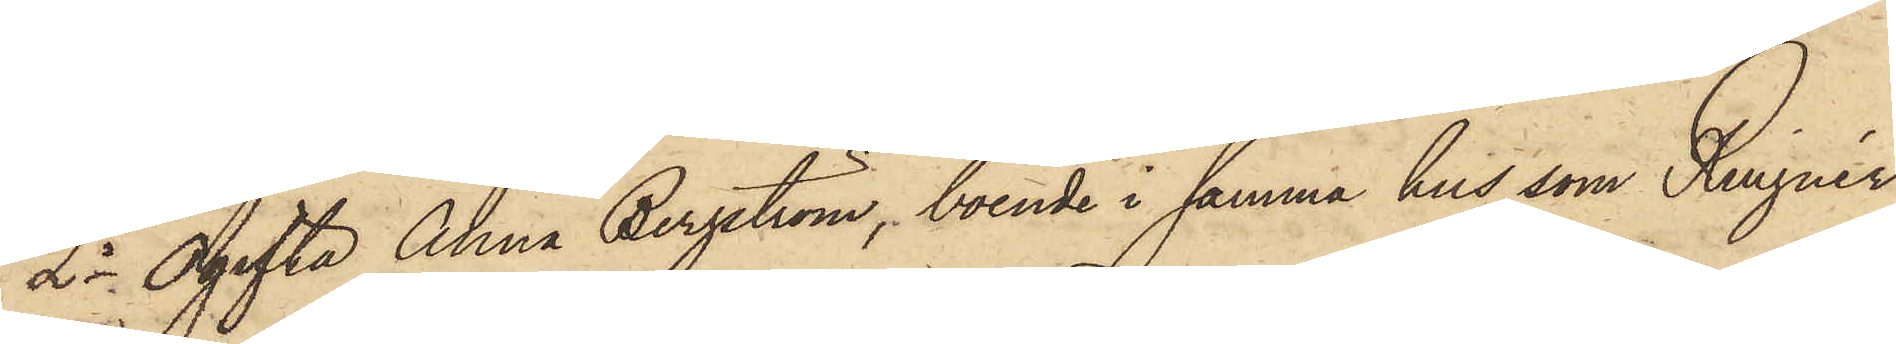2o Ogifta Anna Bergström, boende i samma hus som Ringnér,
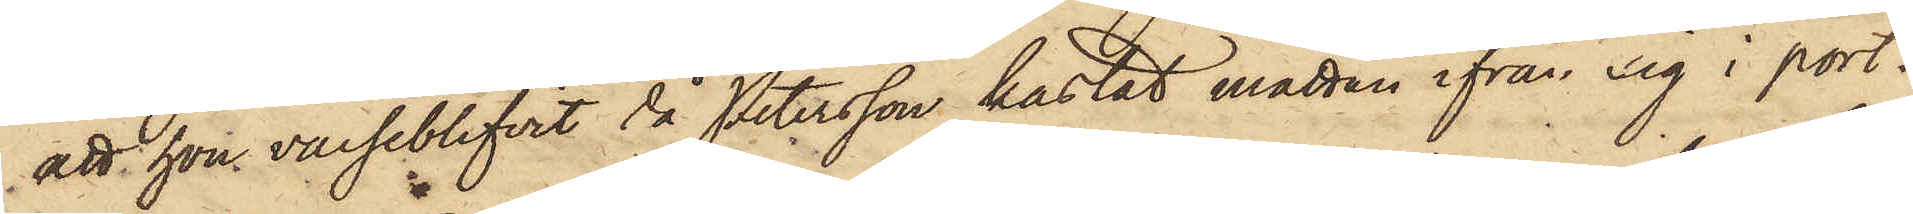att hon varseblifvit då Petersson kastat mattan ifrån sig i port¬
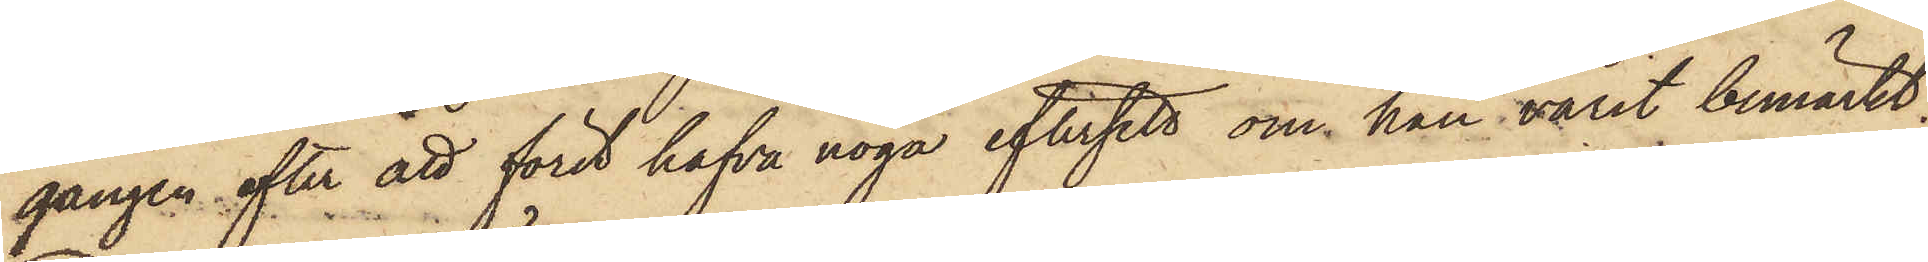gången efter att först hafva noga eftersett om han varit bemärkt;
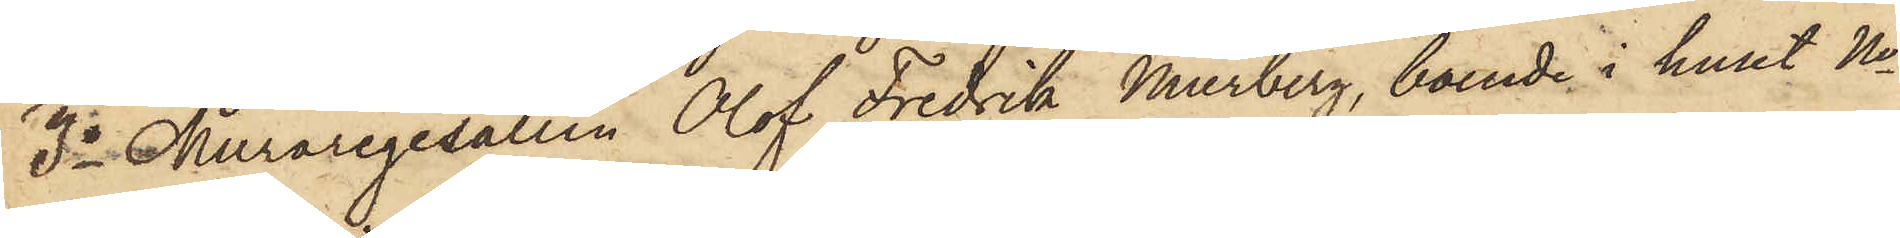3o Muraregesällen Olof Fredrik Murberg, boende i huset No
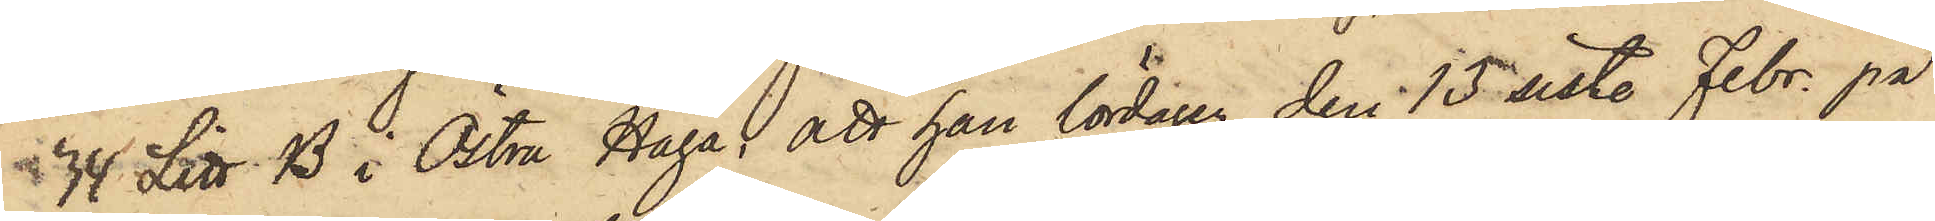 34 Litt. B i Östra Haga; att han lördagen den 15 sist. Febr. på
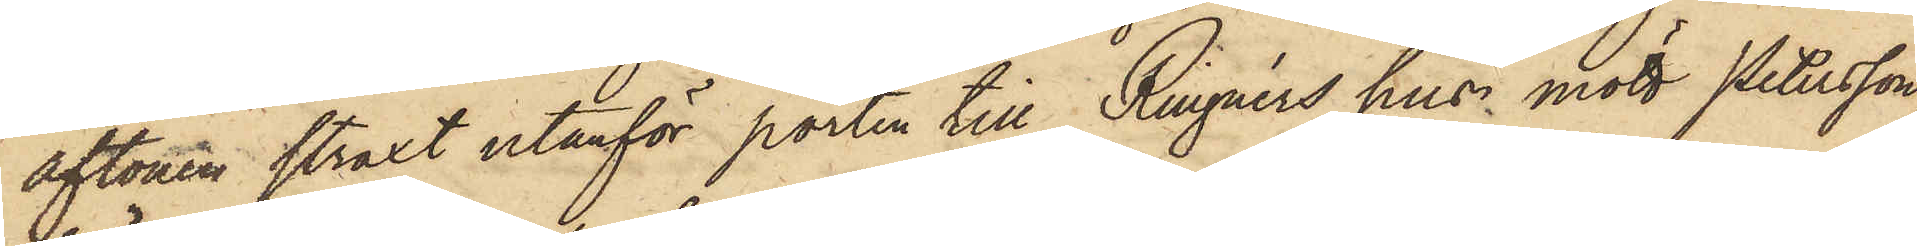aftonen straxt utanför porten till Ringnérs hus, mött Petersson
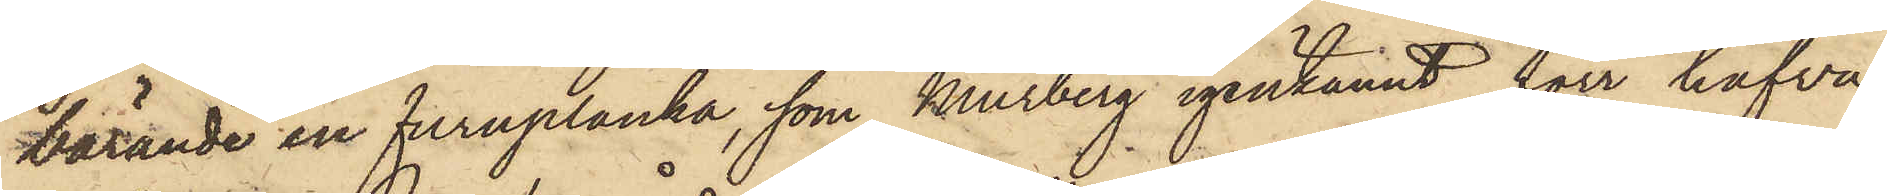bärande en furuplanka, som Murberg igenkännt förr hafva
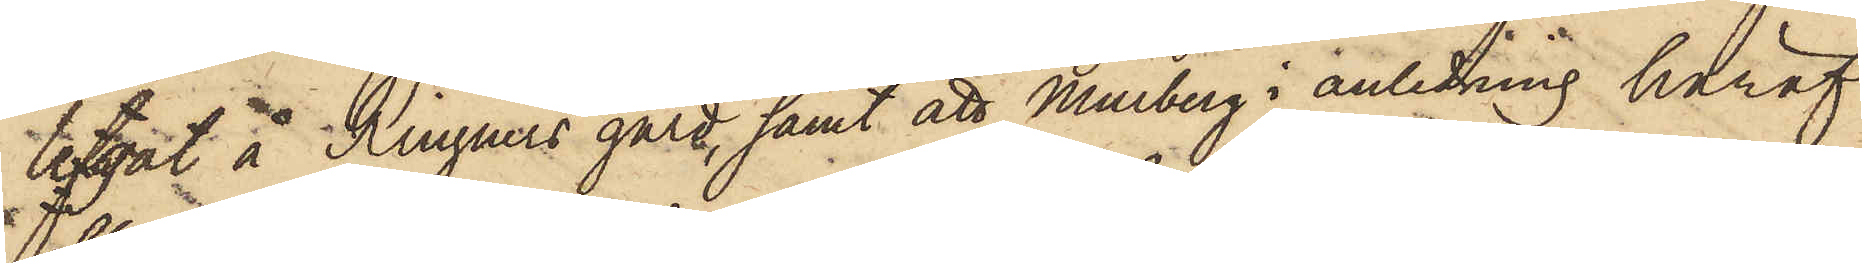lefgat å Ringnérs gård, samt att Murberg i anledning häraf
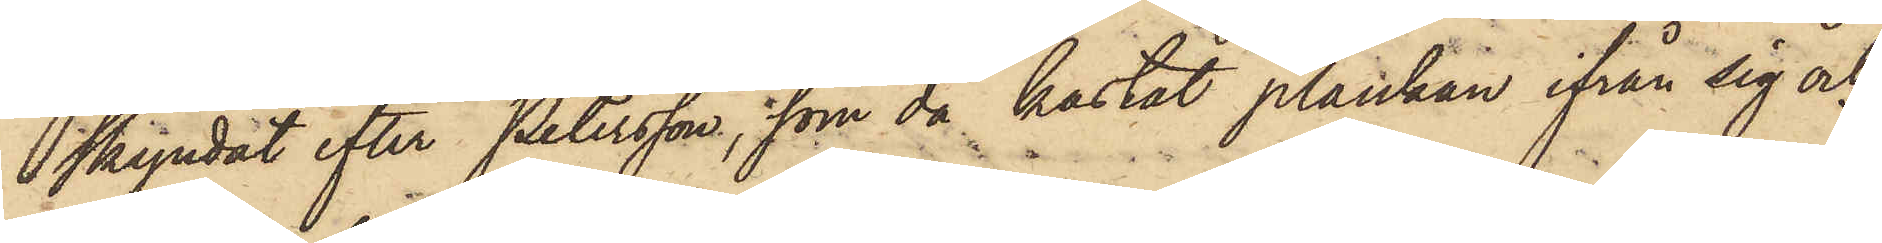skyndat efter Petersson, som då kastat plankan ifrån sig och
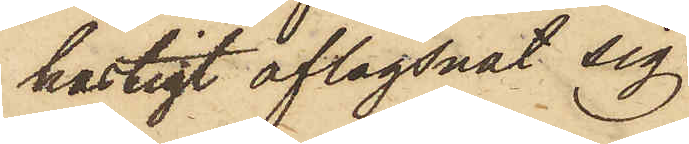hastigt aflägsnat sig.
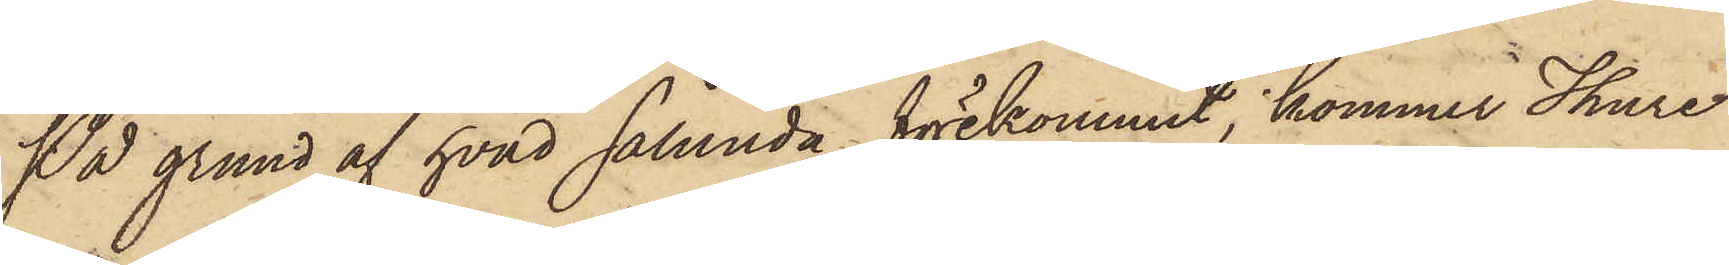På grund af hvad sålunda förekommit, kommer Thure
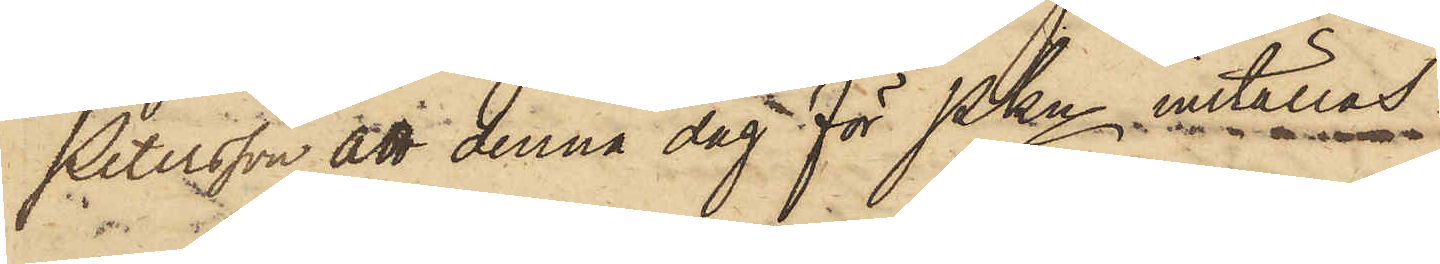Petersson att denna dag för PKn inställas.
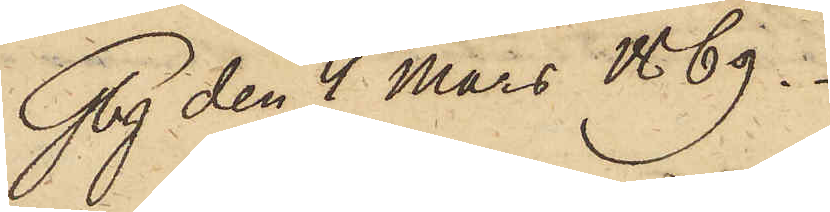Gbg den 4 Mars 1869.
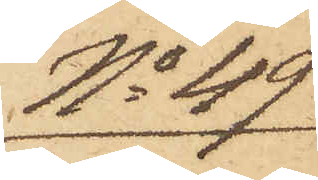No 49
